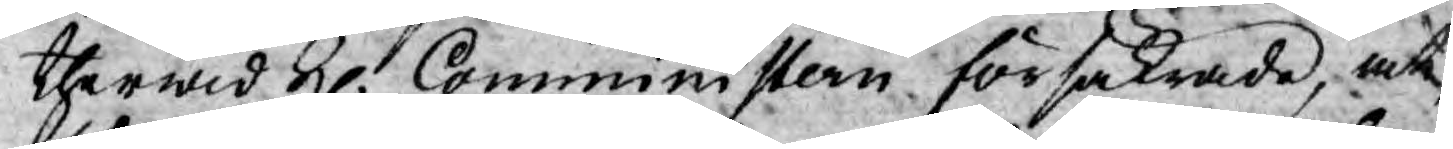therwid H. Comministern försäkrade, at
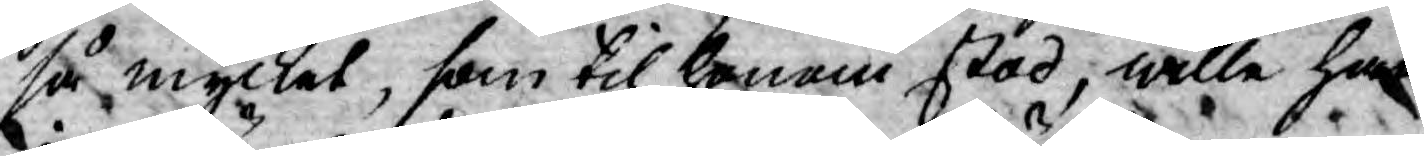så mycket, som til honom stod, wille han
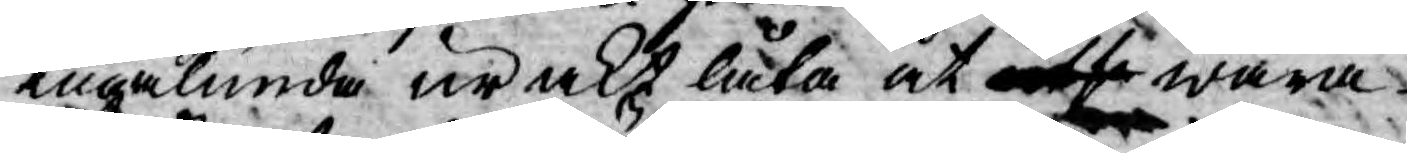ingalunda urakt låta at utse wara
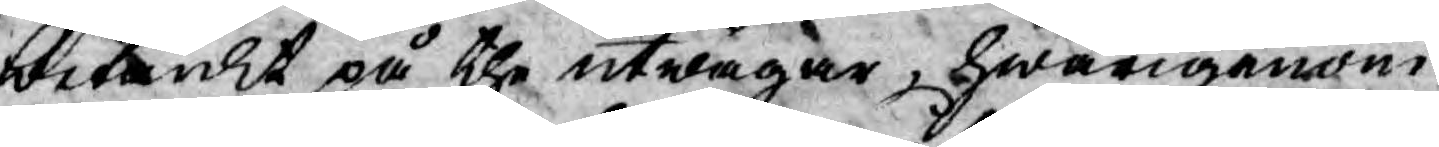betänkt på the utwägar, hwarigenom
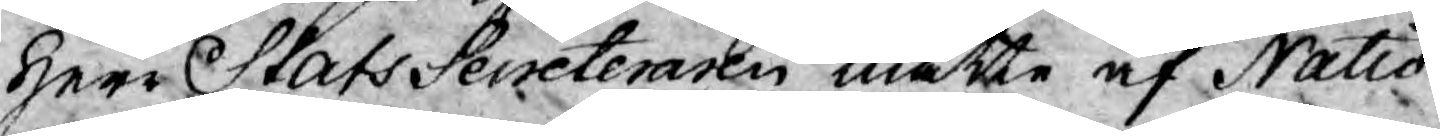Herr Stats Seceteraren måtte af Natio¬
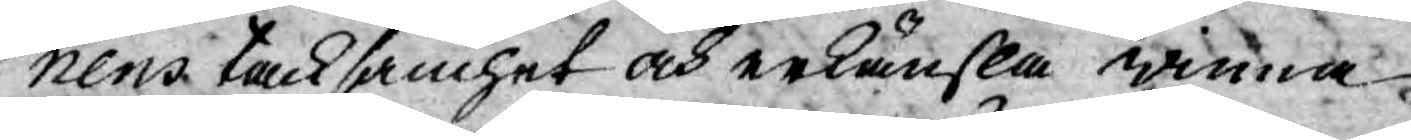nens tacksamhet och erkänsla erinra
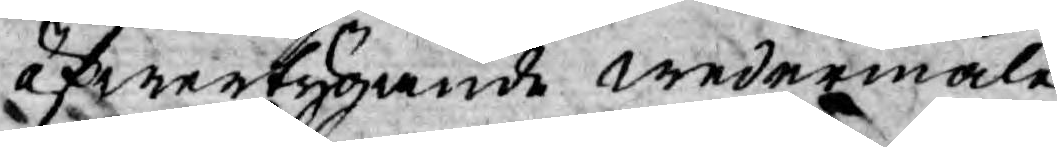öfwertygande wedermäle.
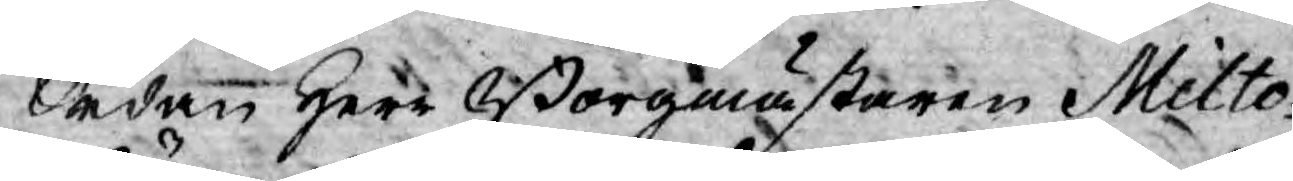Sedan Herr Borgmästaren Milto¬
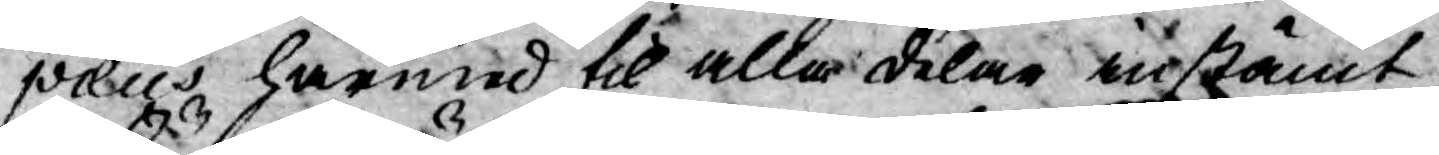pæus härmed til alla delar instämt
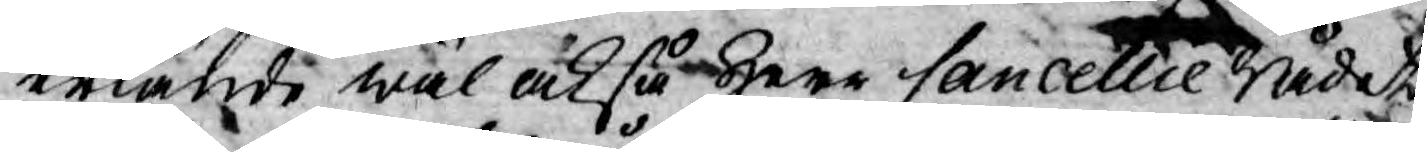erkände wäl också Herr Cancellie Rådet
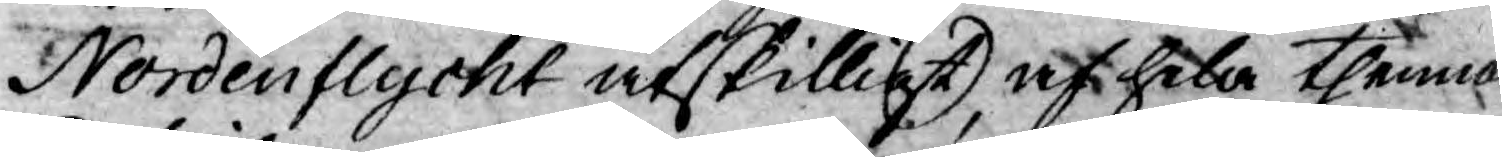Nordenflycht åtskilligt af hela thenna
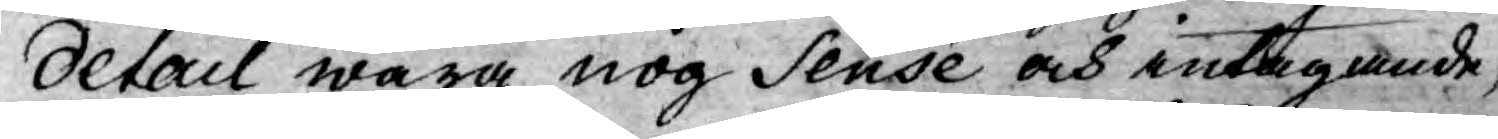detail wara nog Sensé och intagande;
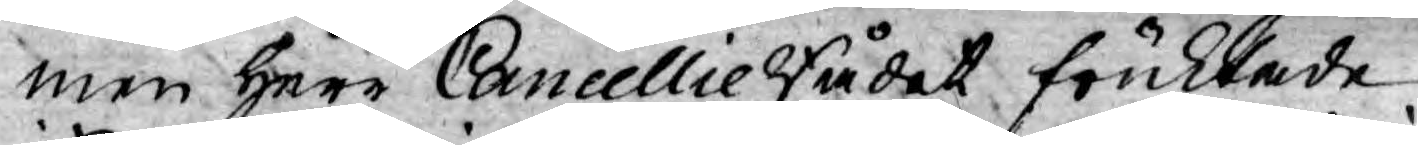men Herr Cancellie Rådet fruktade
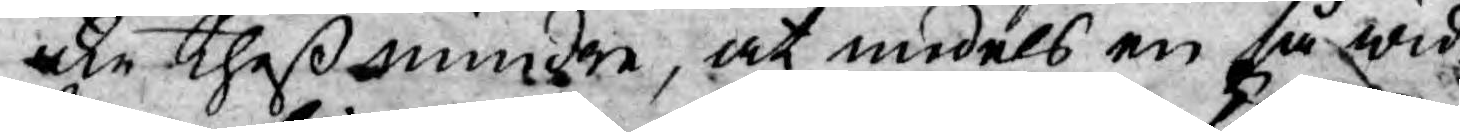icke theß mindre, at medels en så wid¬
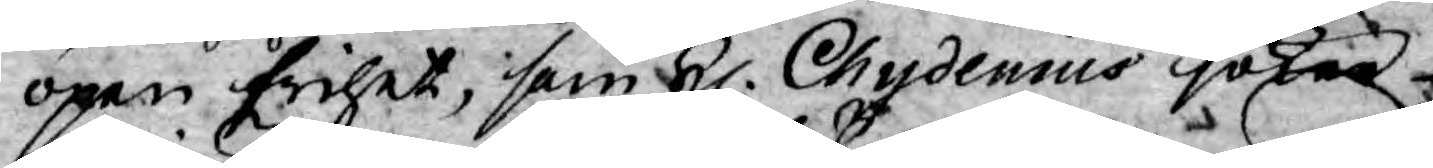öpen frihet, som H. Chydenius söker
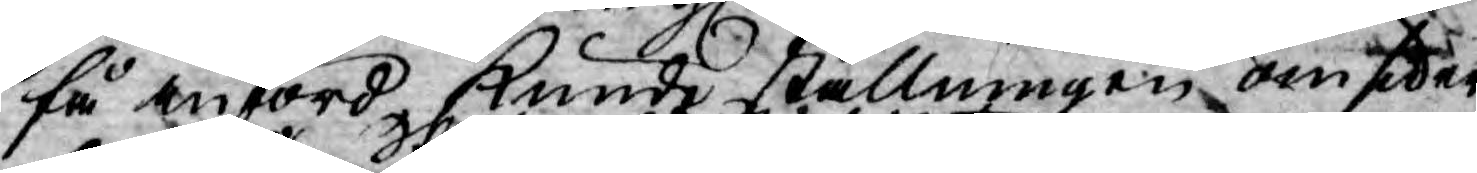få införd kunde ställningen omsider
